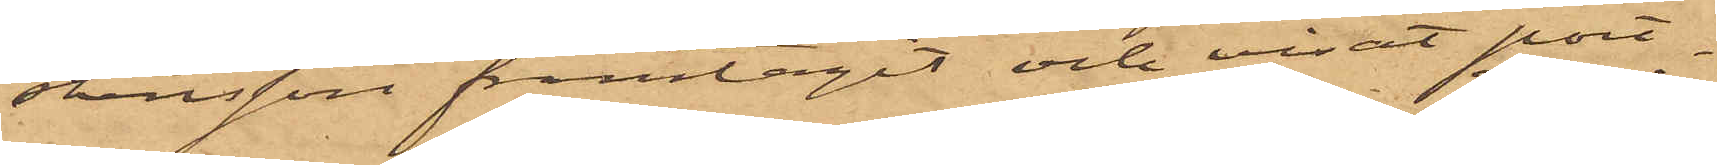stensson framtagit och visat port¬
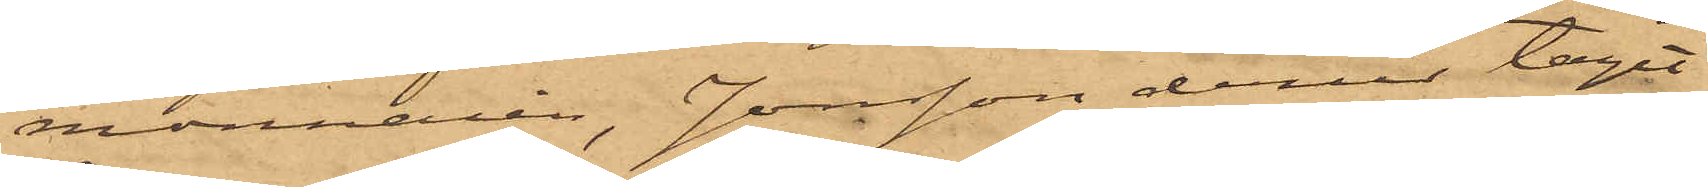monnaien, Jonsson derur tagit
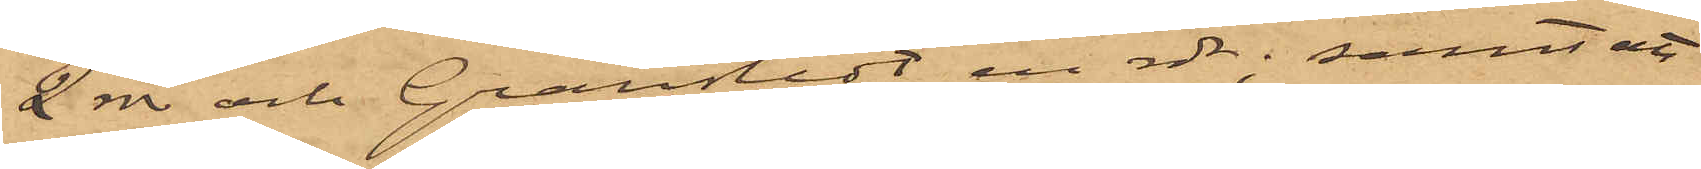2 rdr och Granstedt en rdr; samt att
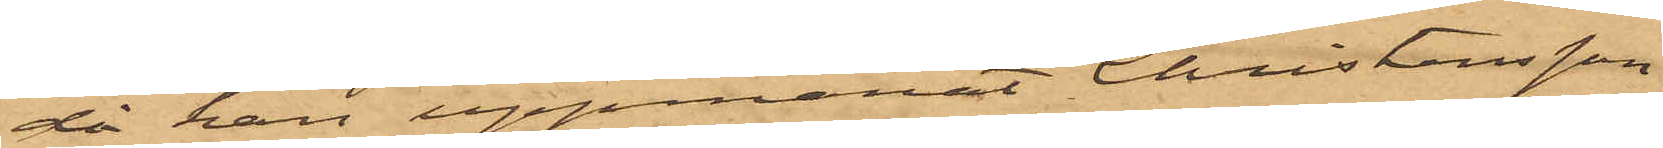då han uppmanat Christensson
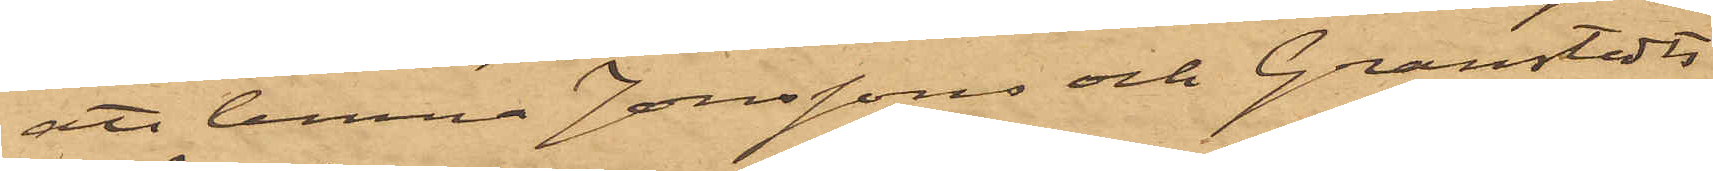att lemna Jonssons och Granstedts 
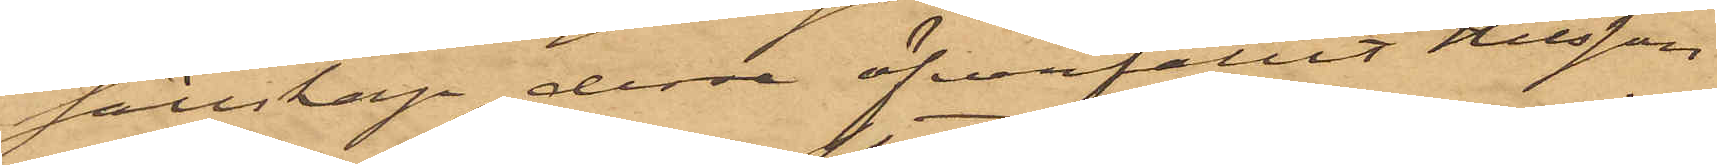sällskap, dessa öfverfallit Nilsson
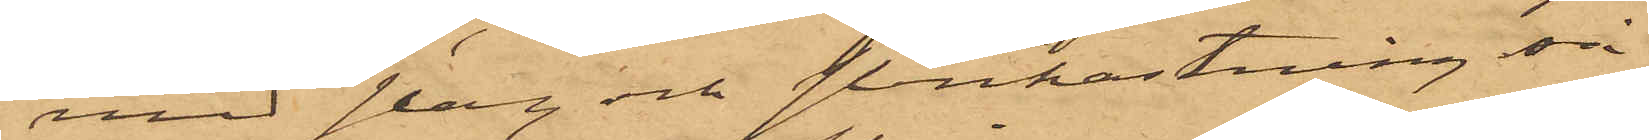med slag och stenkastning, så
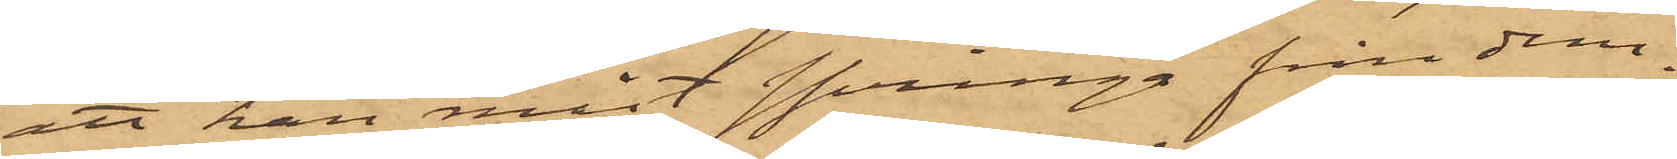att han måst springa från dem.
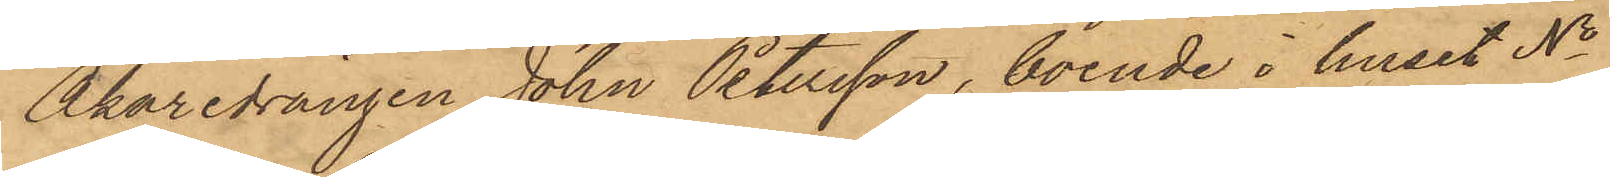Åkaredrängen John Petersson, boende i huset No
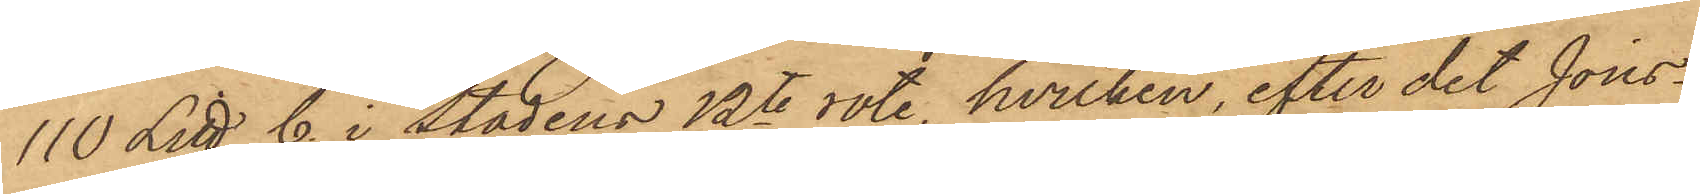110 Litt C. i Stadens 12te rote, hvilken, efter det Jons¬
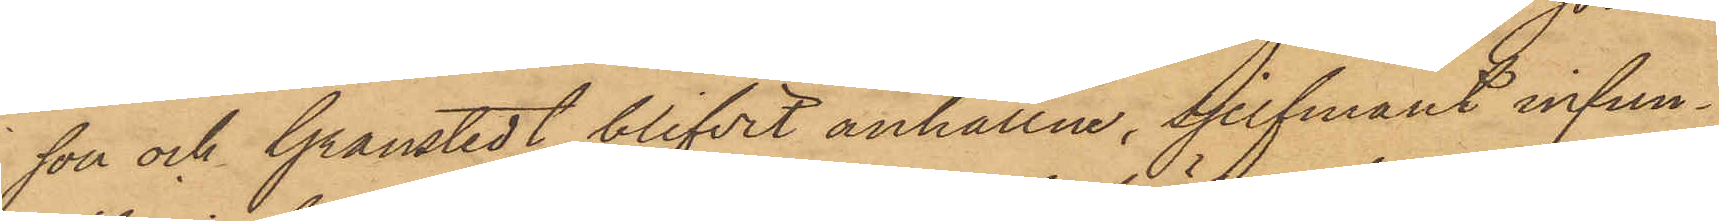son och Granstedt blifvit anhållne, sjelfmant infun¬
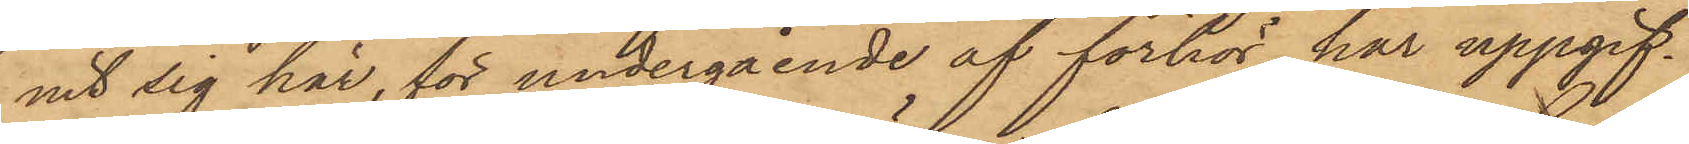nit sig här, för undergående af förhör, har uppgif¬
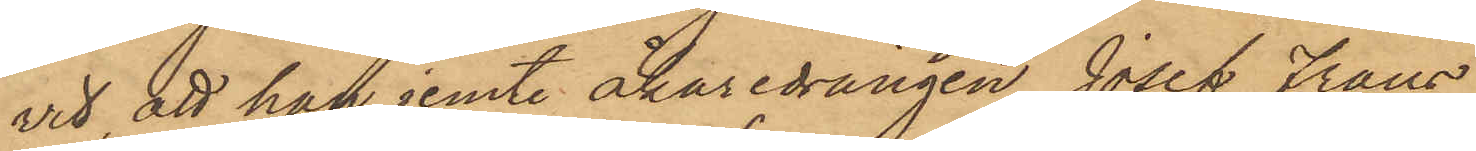vit, att han jemte åkaredrängen Josef Frans
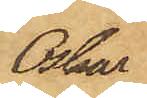Oskar
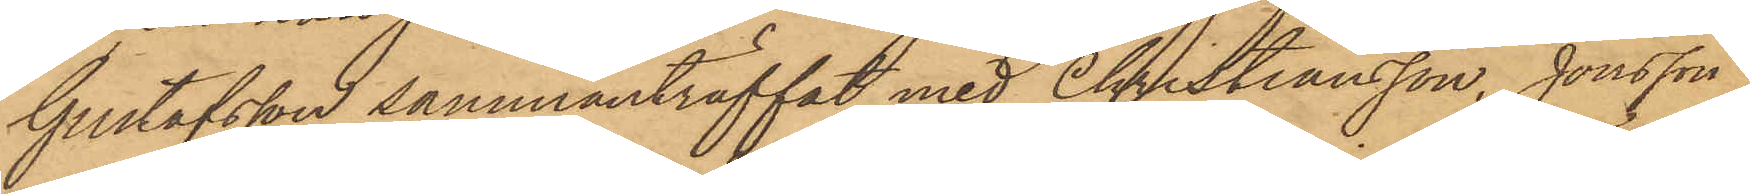Gustafsson sammanträffat med Christiansson, Jonsson
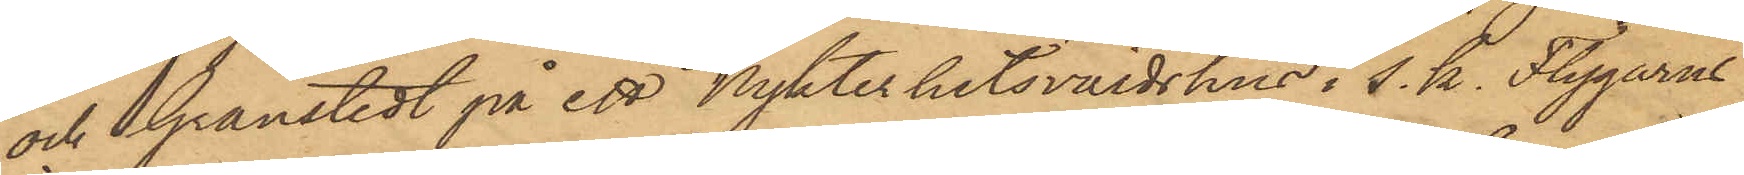och Granstedt på ett Nykterhetsvärdshus i s. k. Flygarns
